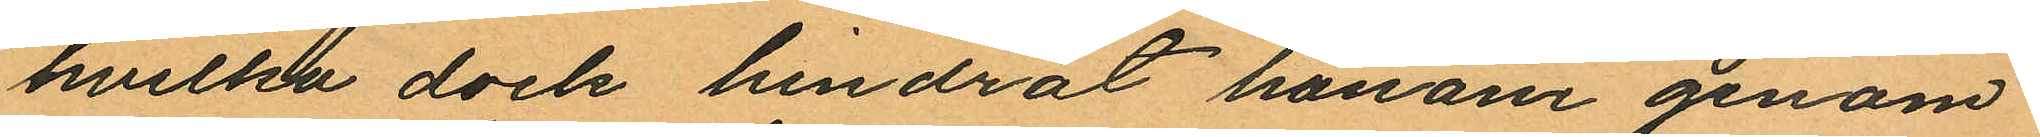hvilka dock hindrat honom genom
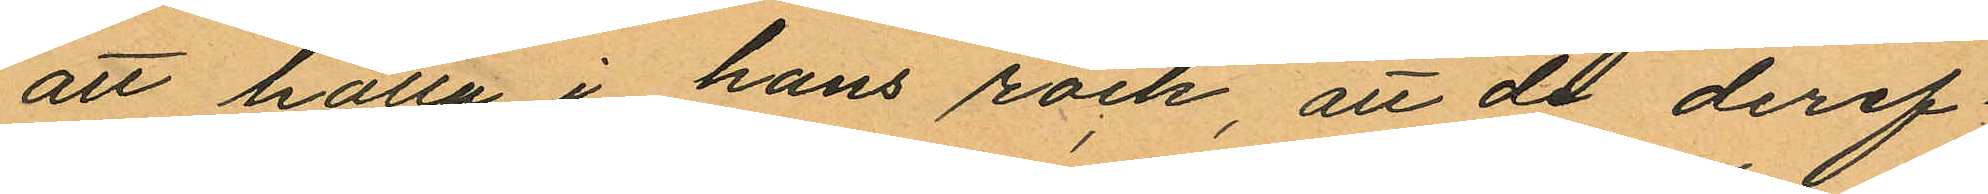att hålla i hans rock, att de deref¬
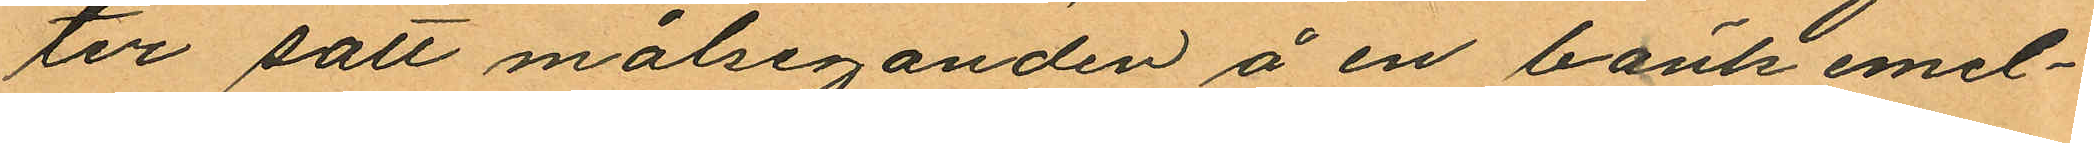ter satt målseganden å en bänk emel¬
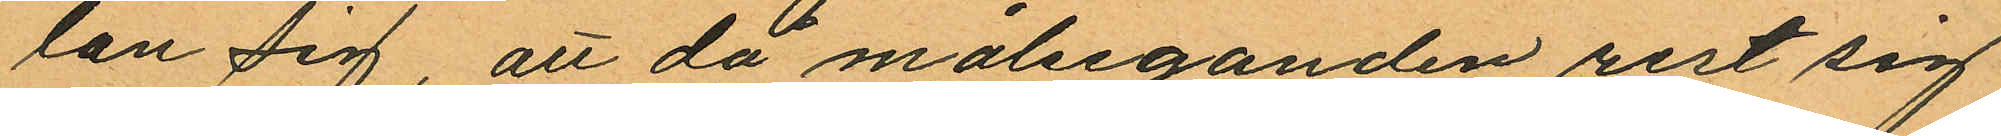lan sig, att då målseganden rest sig
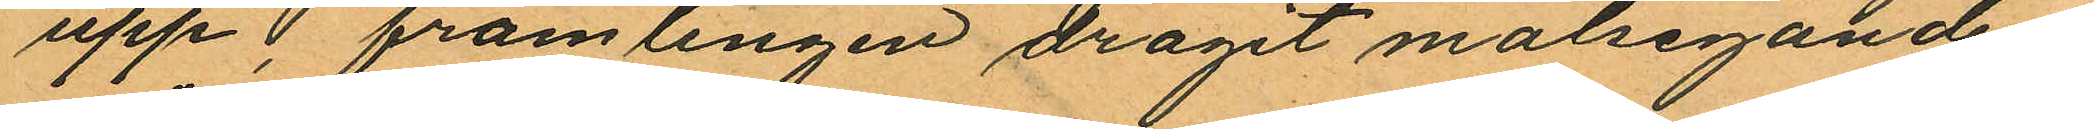upp, främlingen dragit målsegandens
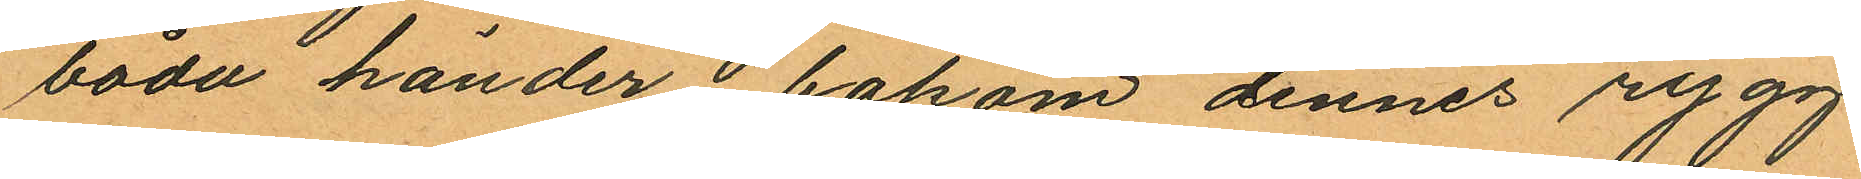båda händer bakom dennes rygg
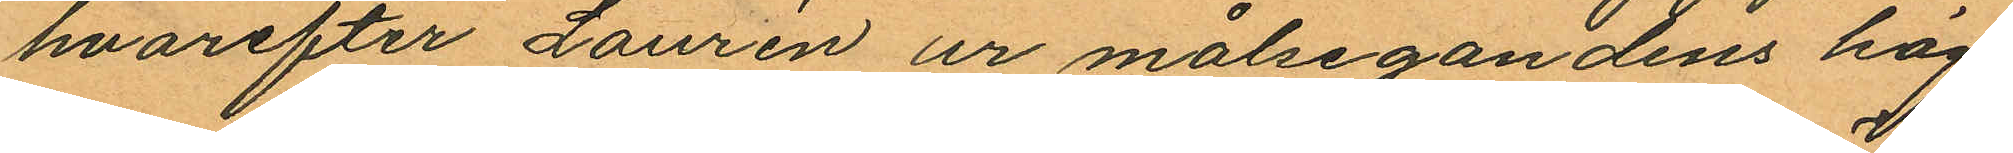hvarefter Laurén ur målsegandens hög¬
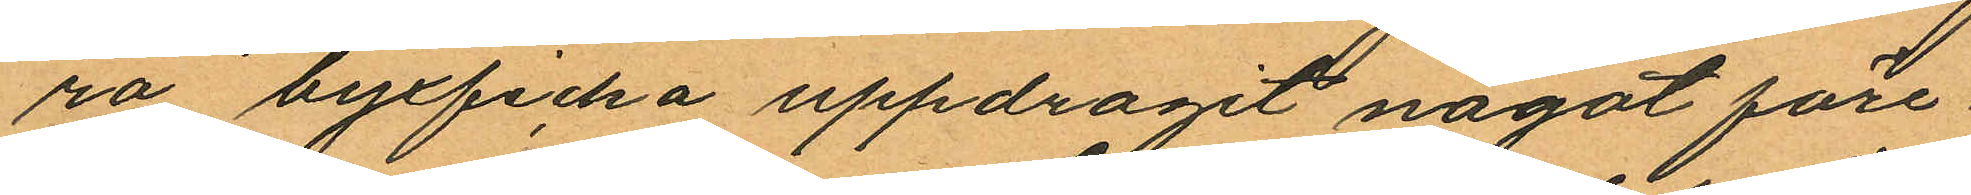ra byxficka uppdragit något före
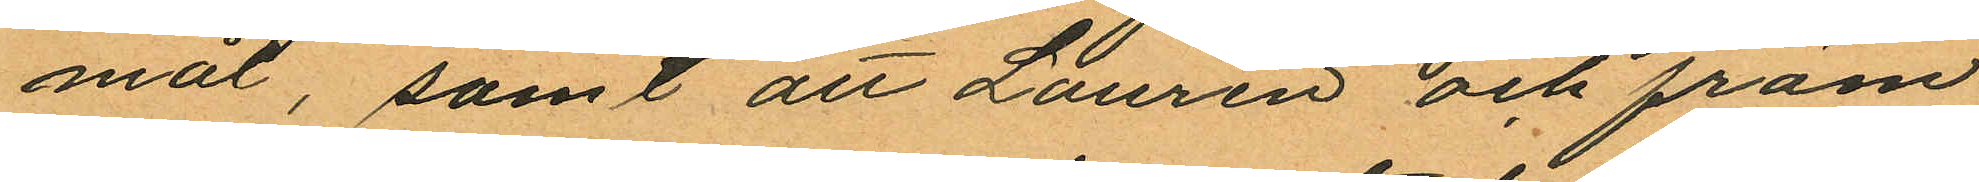mål, samt att Laurén och främ¬
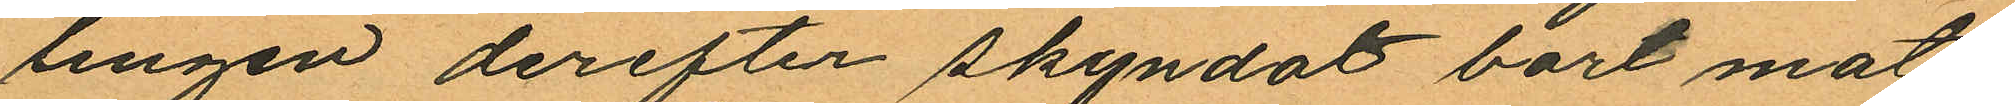lingen derefter skyndat bort mot
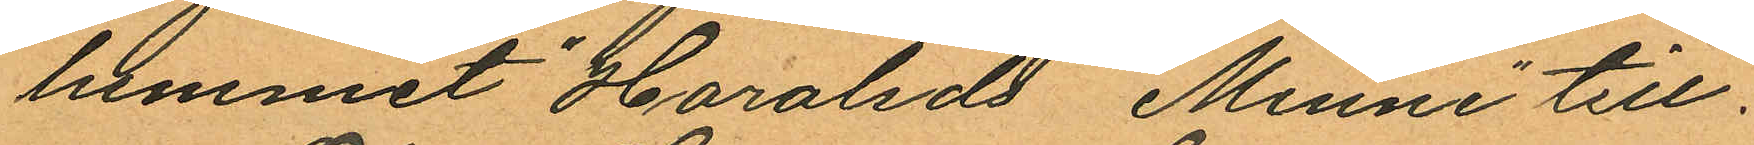hemmet "Haralds Minne" till.
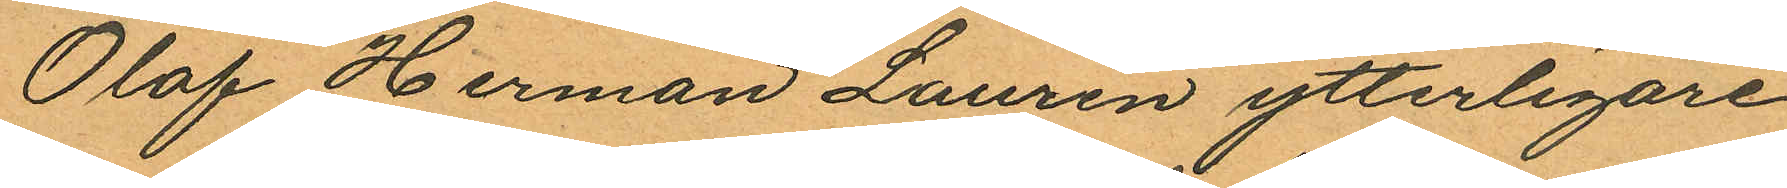Olof Herman Laurén ytterligare
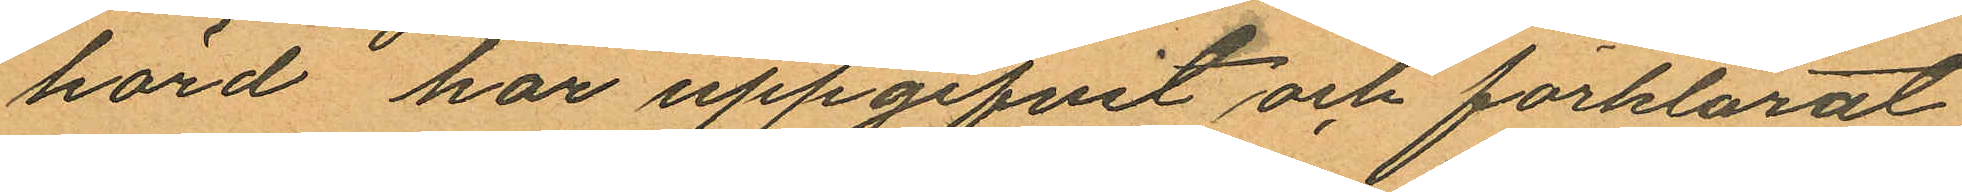hörd har uppgifvit och förklarat
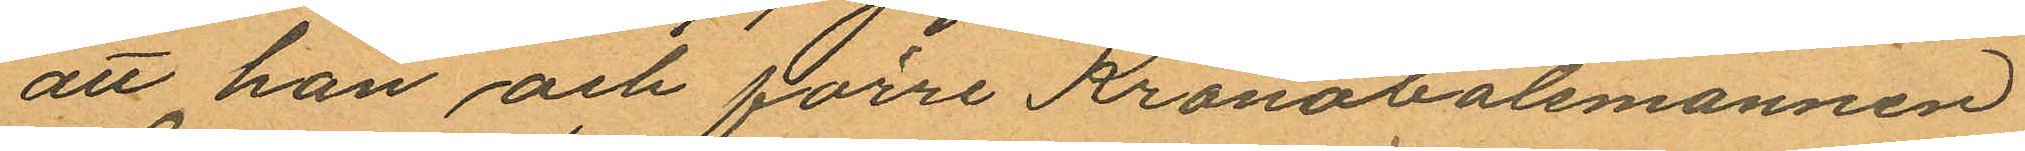att han och förre Kronobåtsmannen
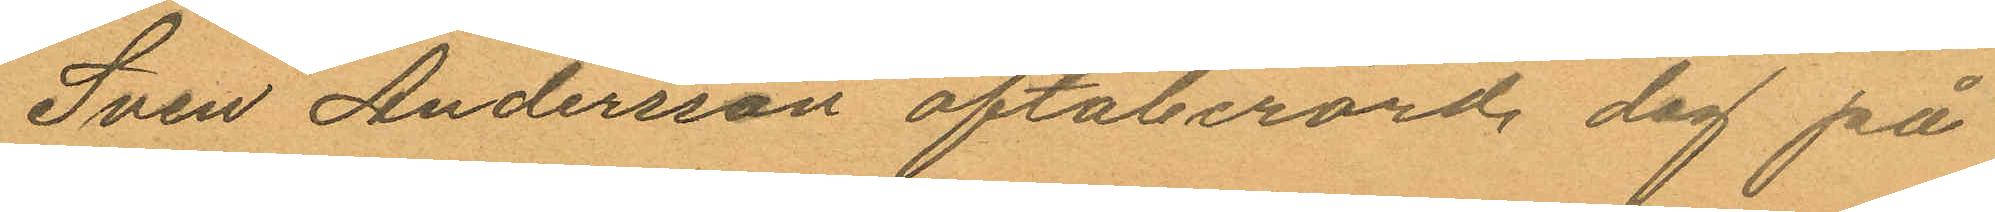Sven Andersson oftaberörd dag på
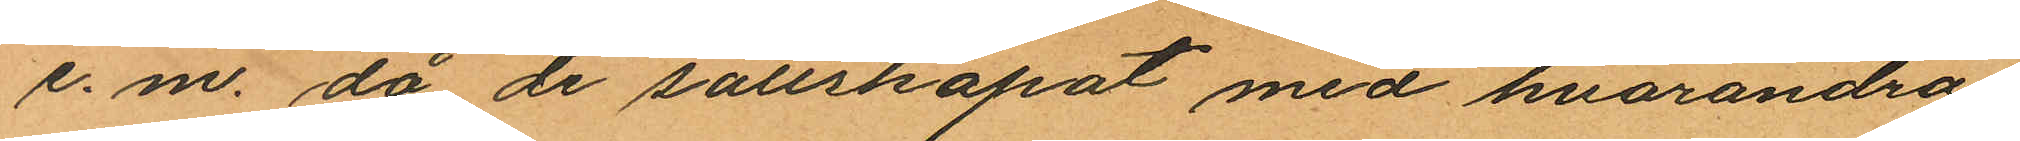e. m. då de sällskapat med hvarandra
